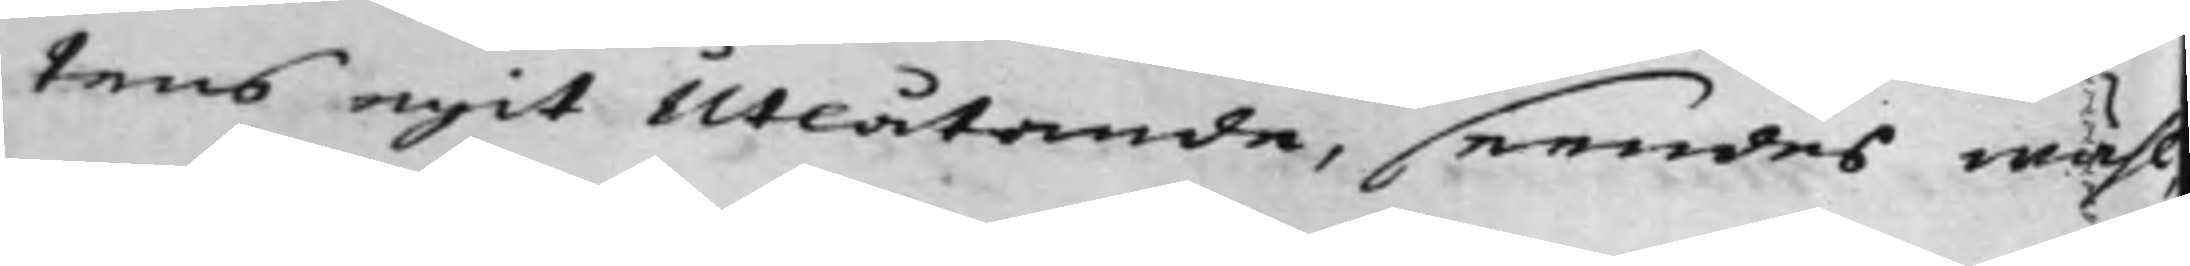tens egit Utlåtande, seendes mäst,
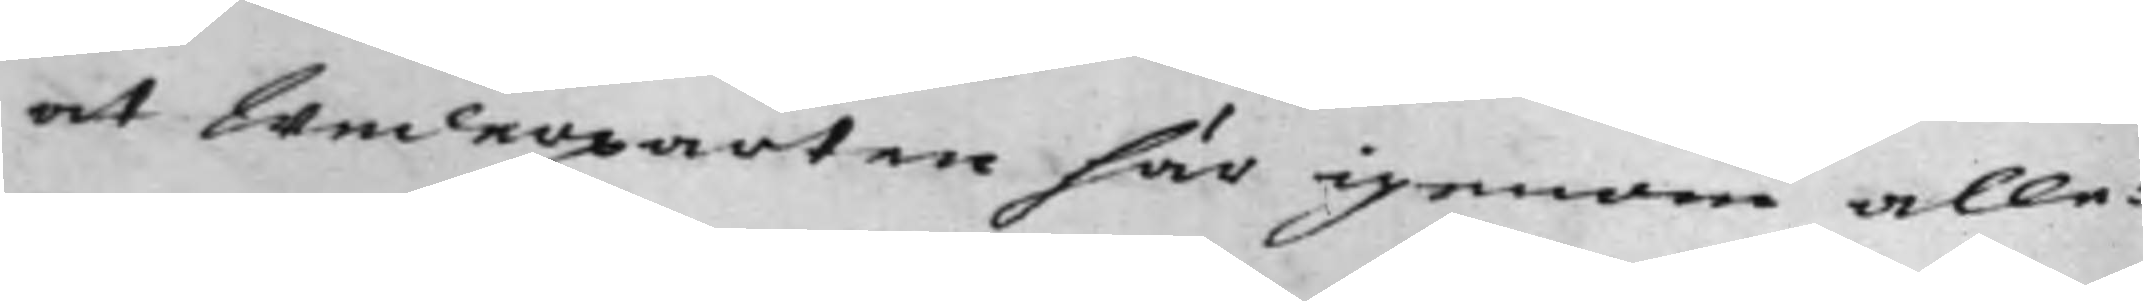at Wederparten här igenom alle¬
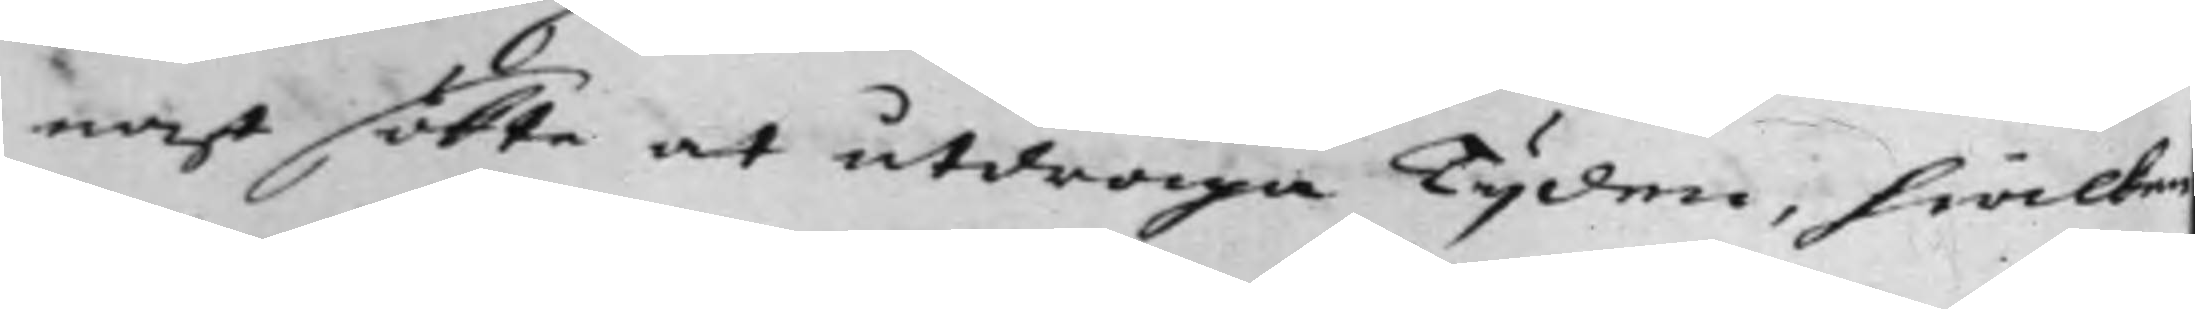nast sökte at utdraga Tijden, hwilcken
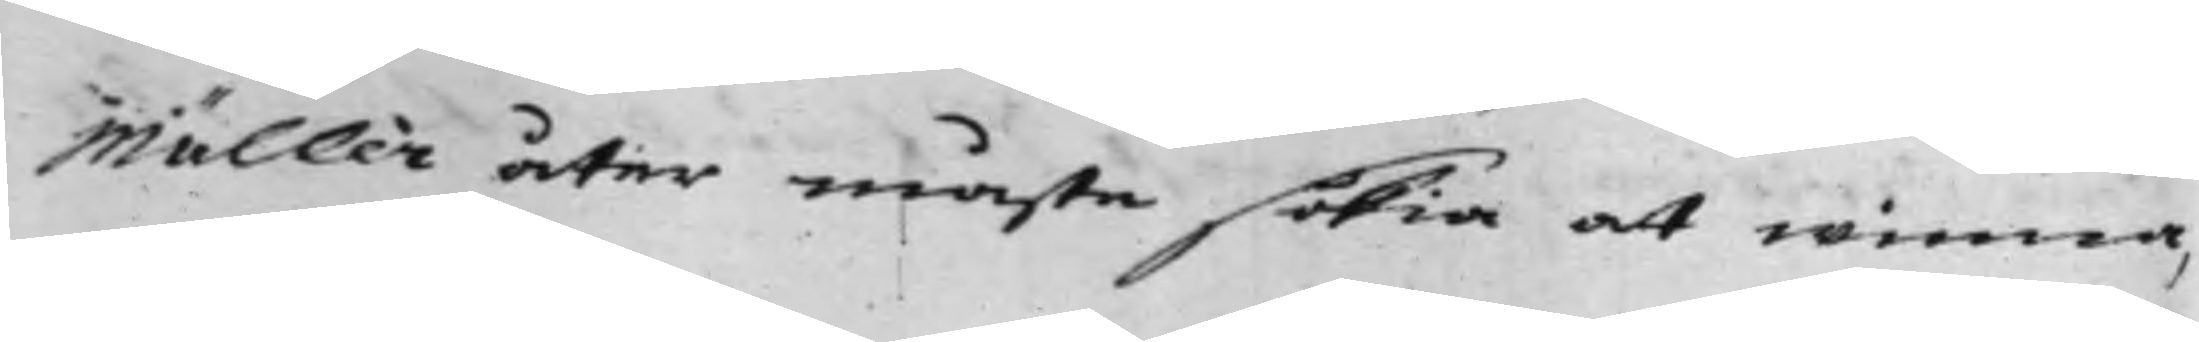Müller åter måste söka at winna,
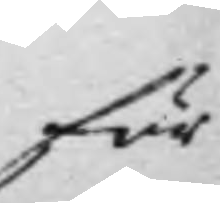för
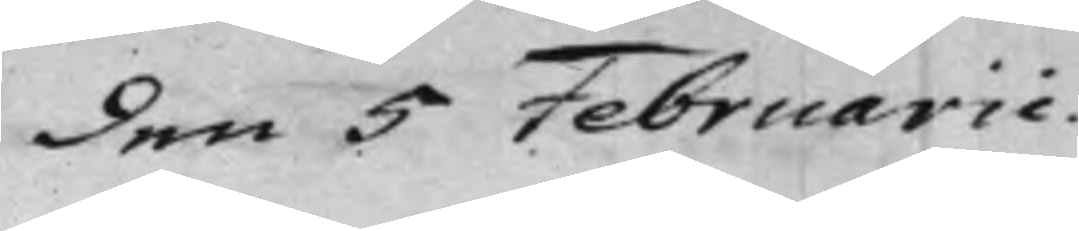den 5 Februarii.
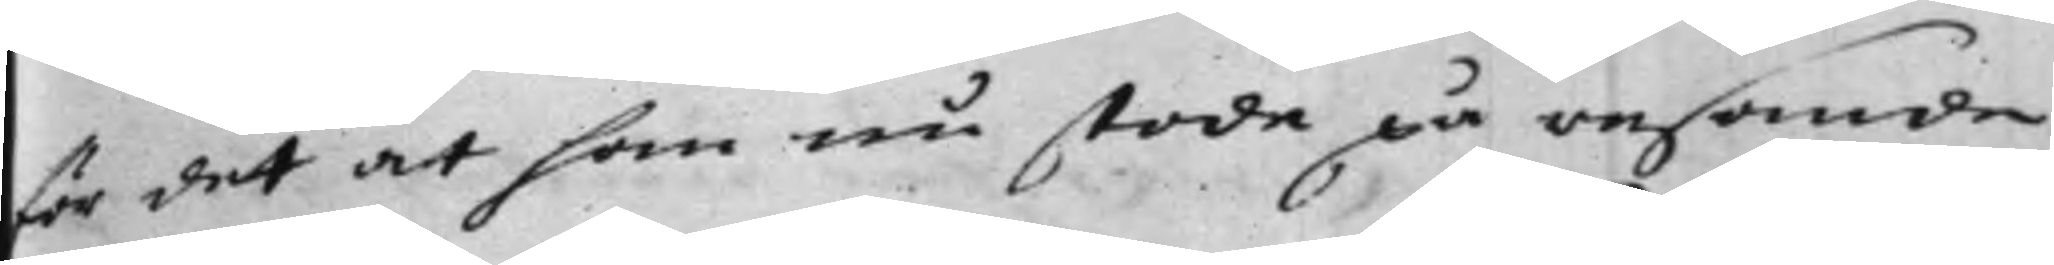för det at han nu stode på resande
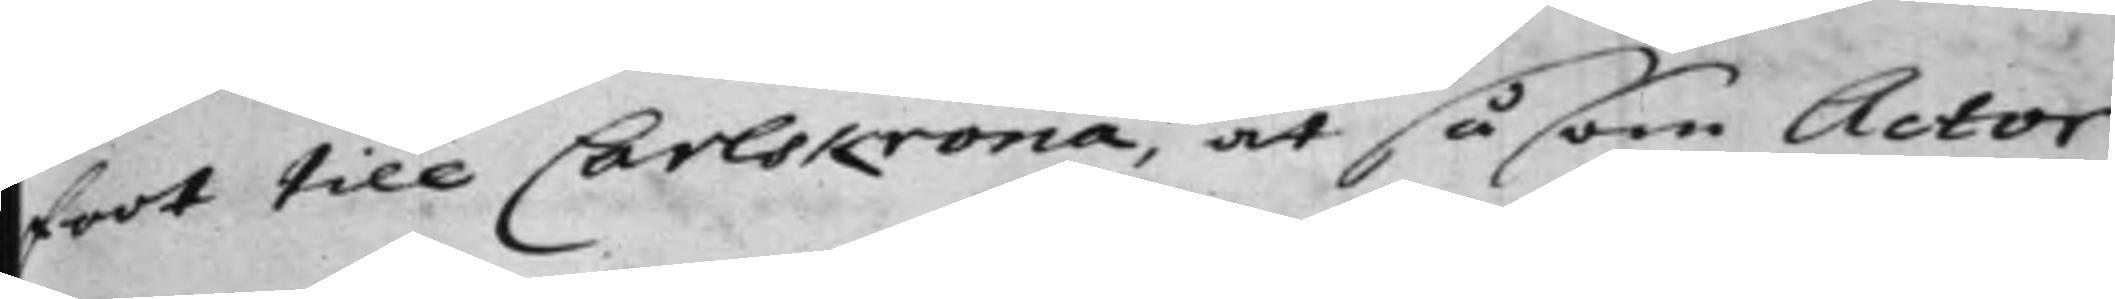foot till Carlskrona, at såsom Actor
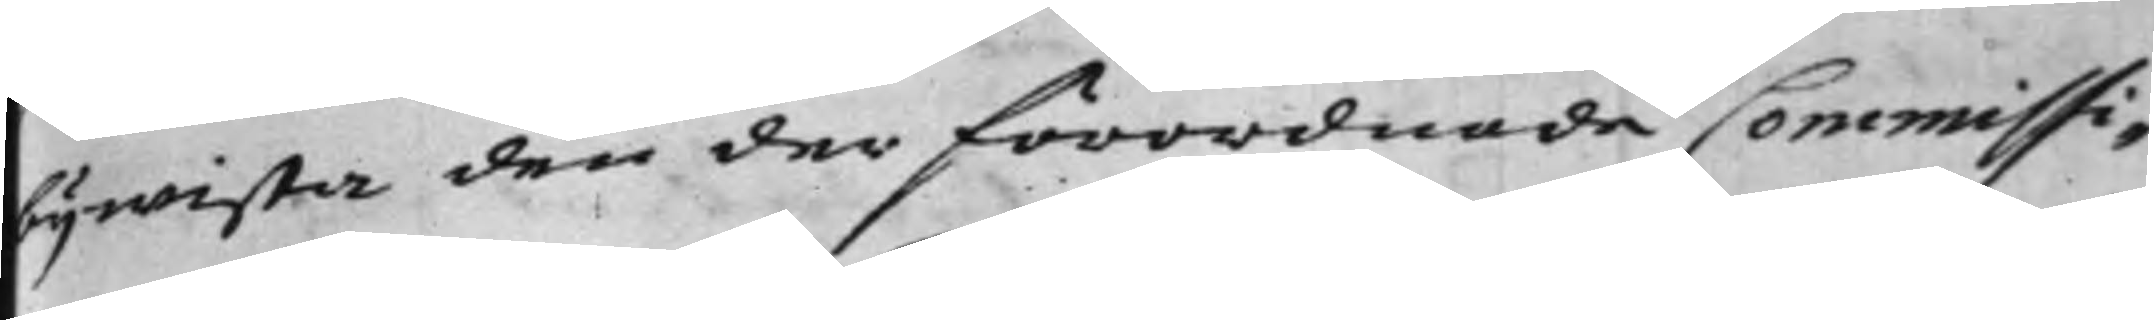bijwista den der förordnade Commissi¬
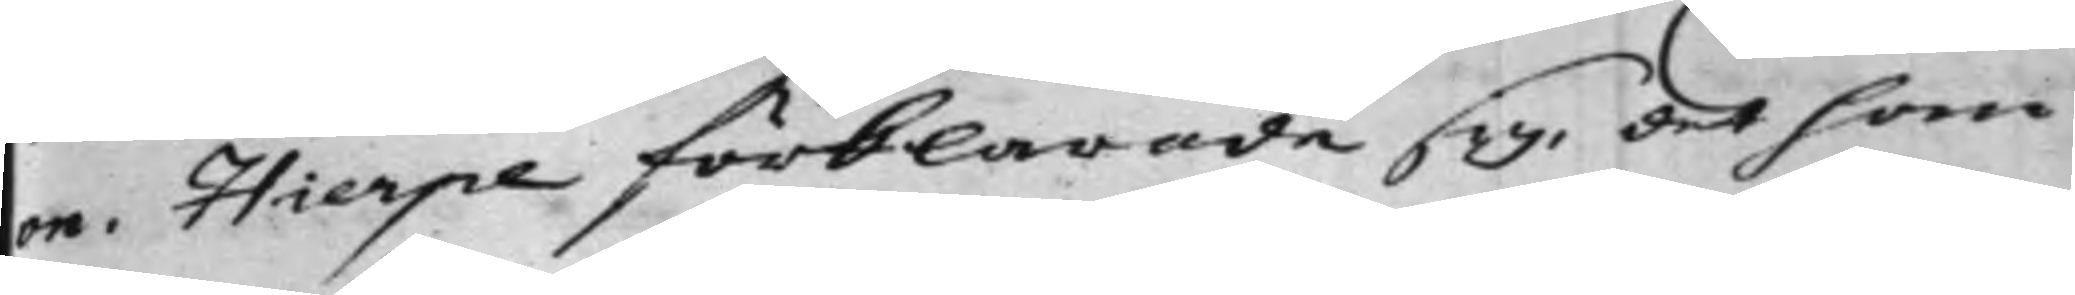on. Hierpe förklarade sig, det som
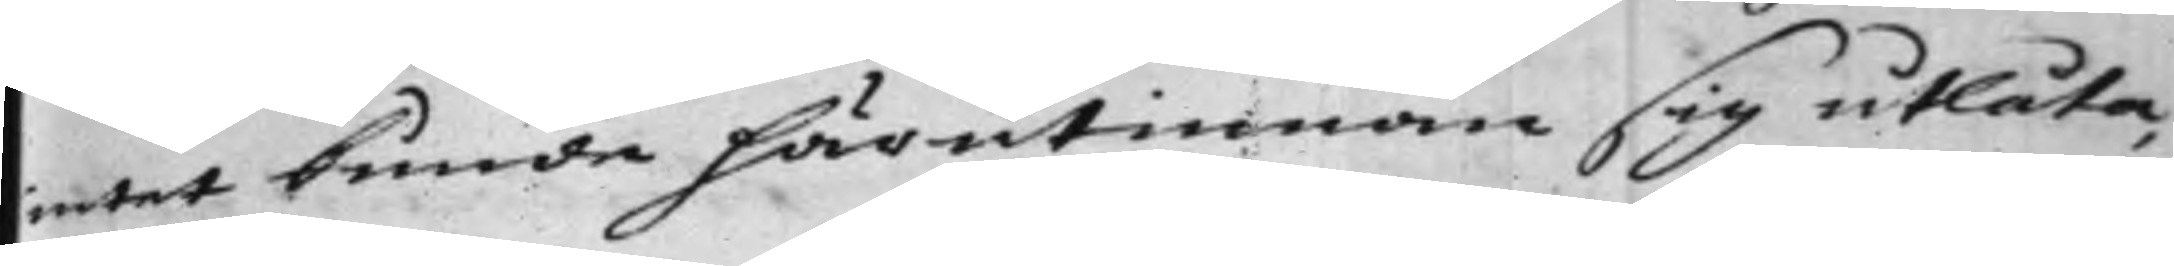intet kunde härutinnan sig utlåta,
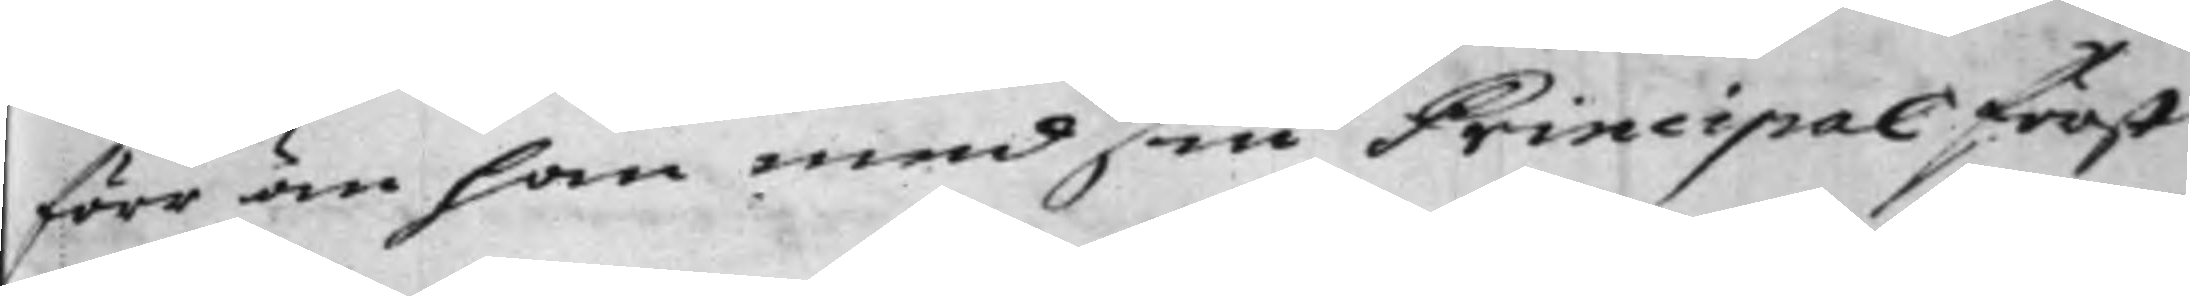förr än han med sin Principal först
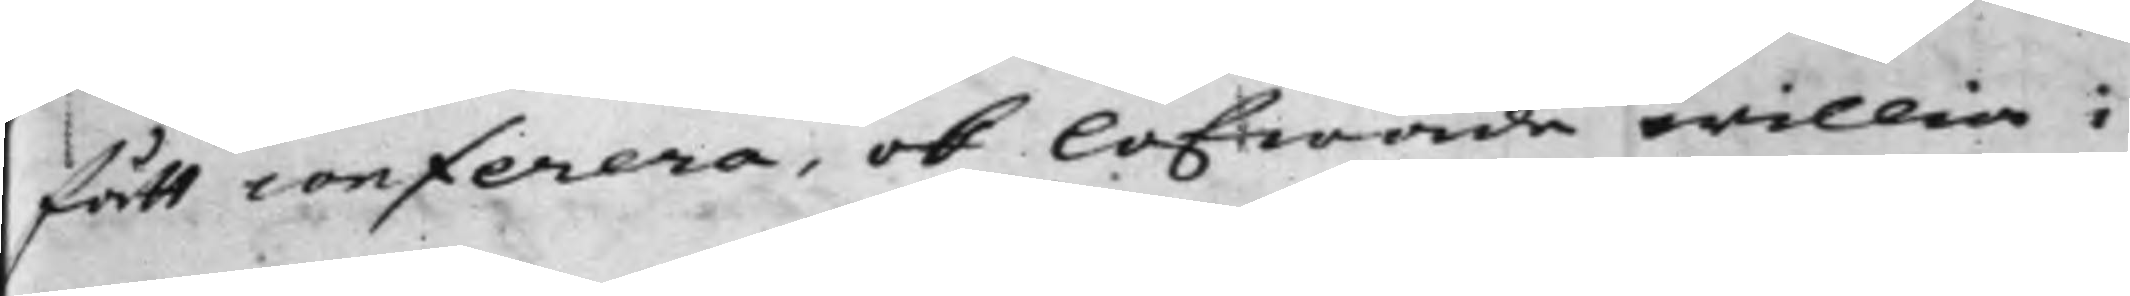fått conferera, ok lofwade willia i
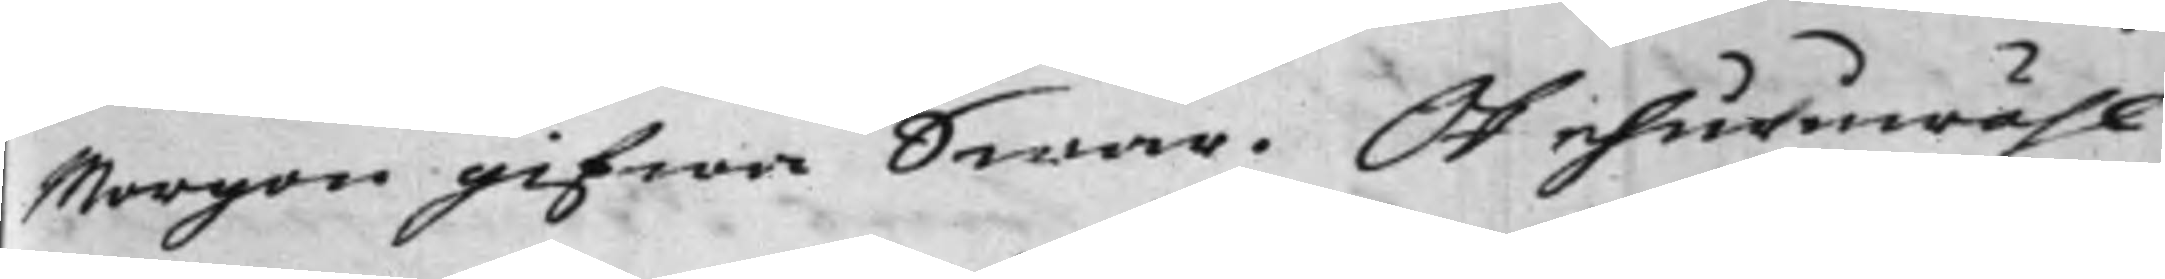Morgon gifwa Swar. Ok ehuruwähl
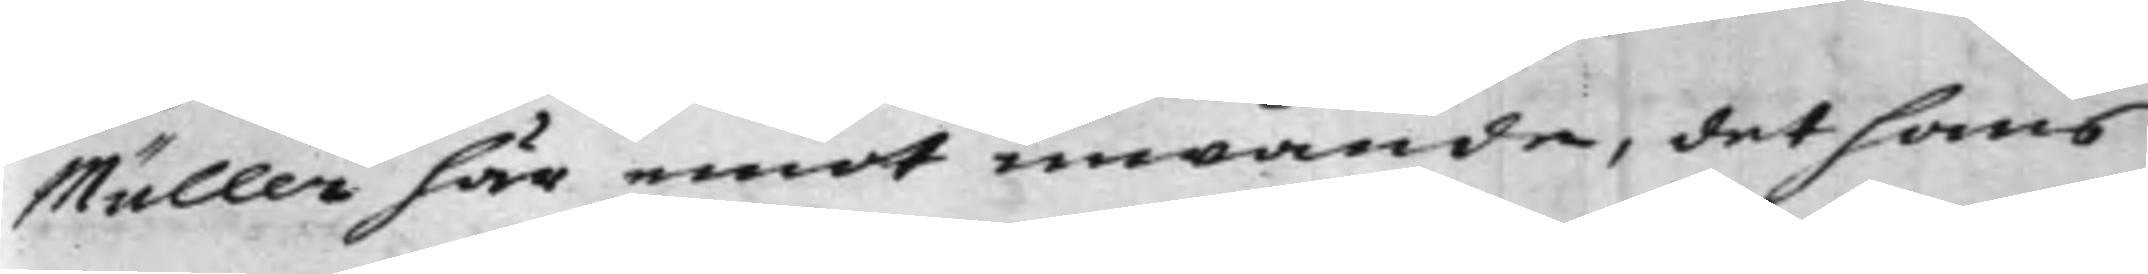Müller här emot inwände, det hans
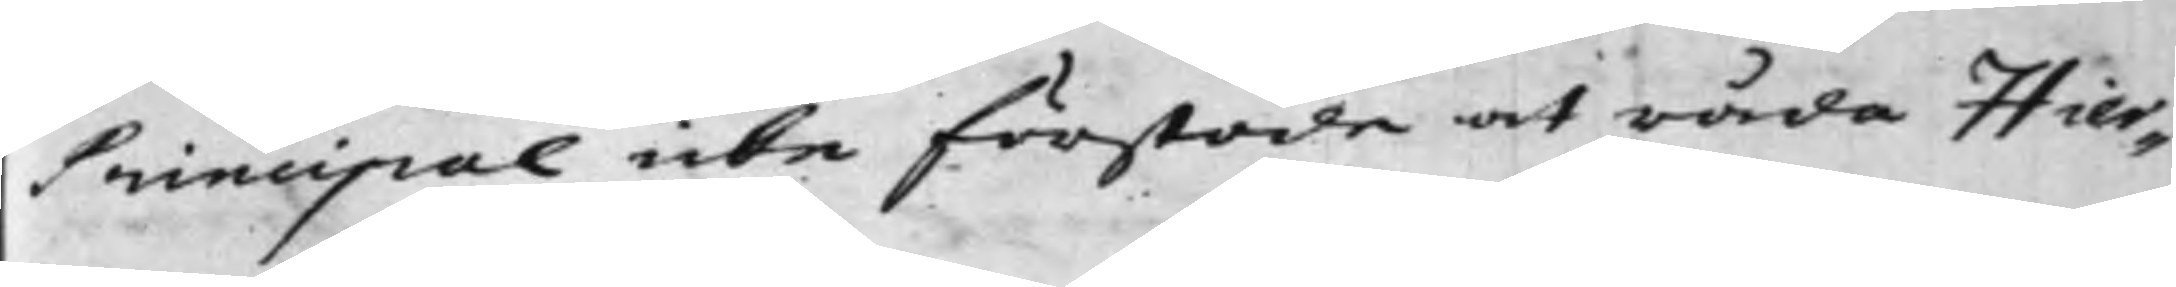Principal icke förstode at råda Hier¬
